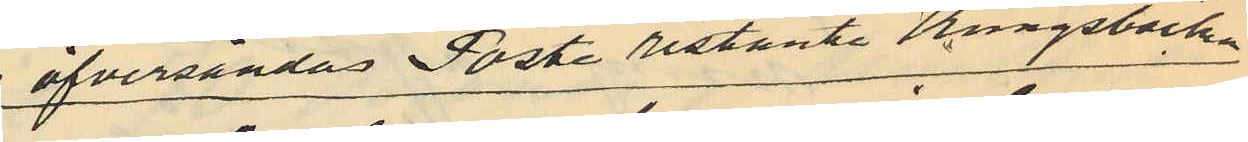öfversändas Poste restante Kungsbacka
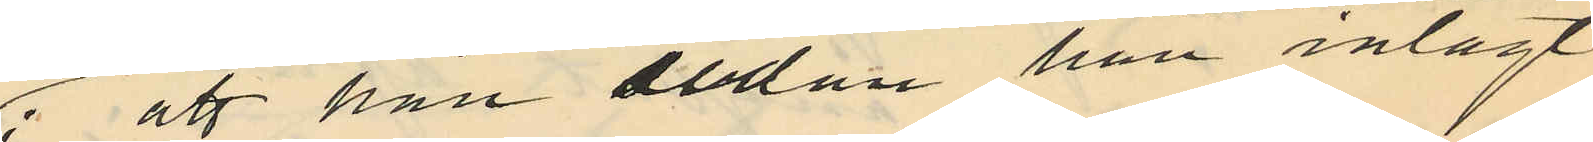; att han sedan han inlagt
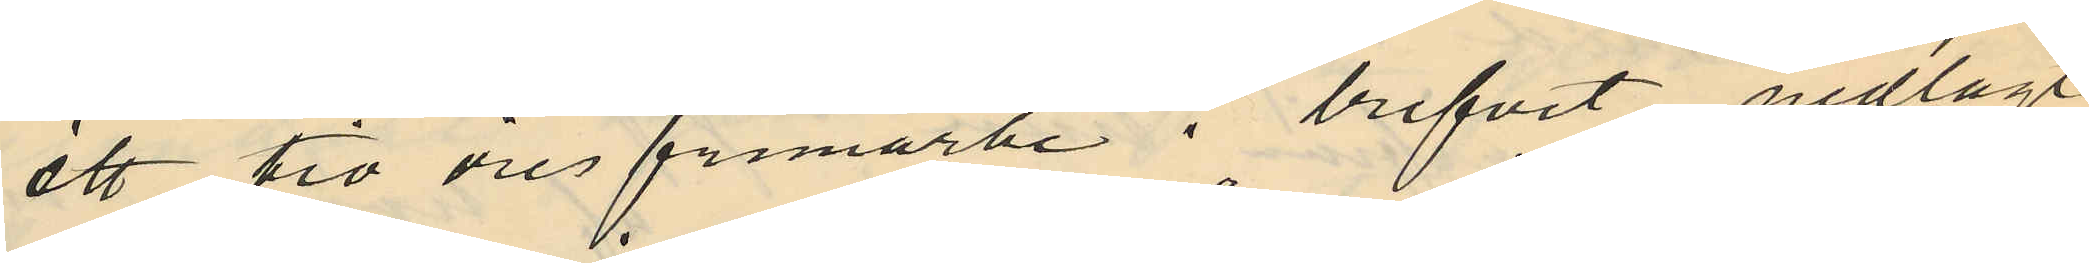ett tio öres frimärke i brefvet nedlagt
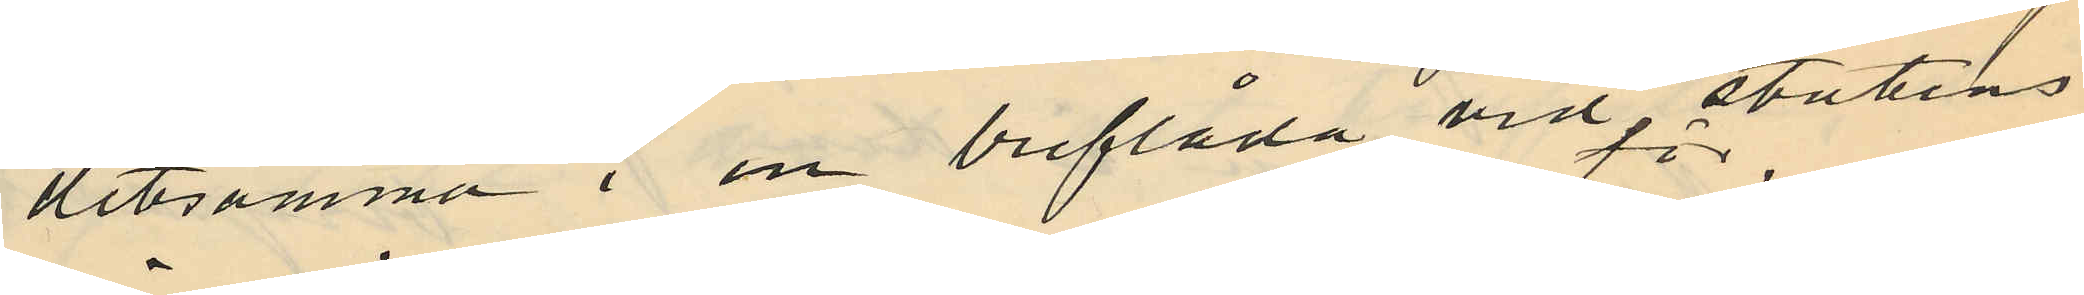detsamma i en breflåda vid statens
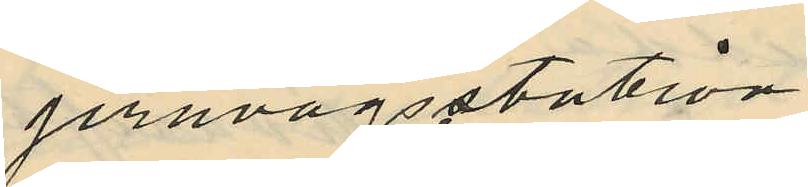jernvägsstation
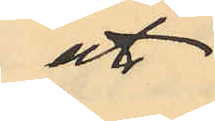att
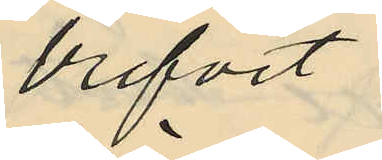brefvet
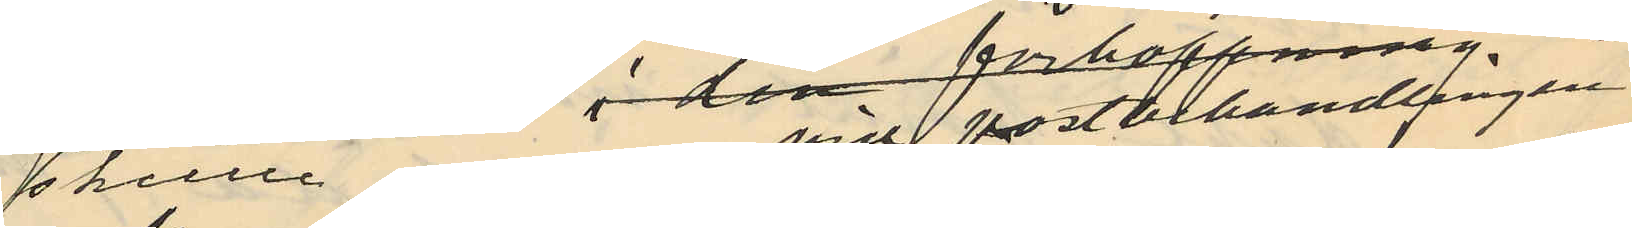skulle vid postbehandlingen
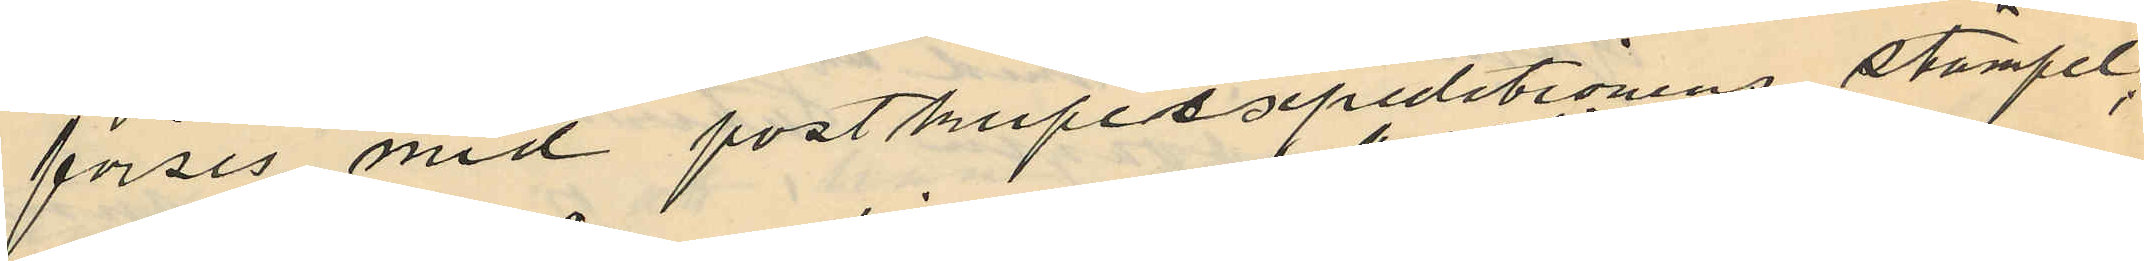förses med postkupésxpeditionens stämpel;
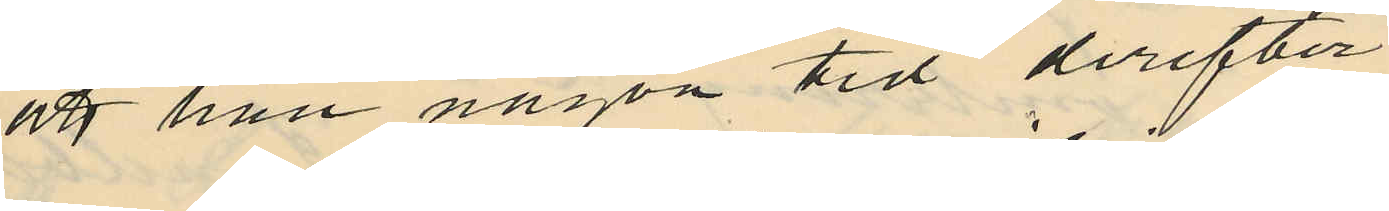att han någon tid derefter
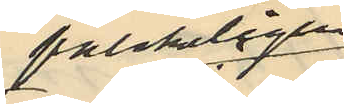falskeligen
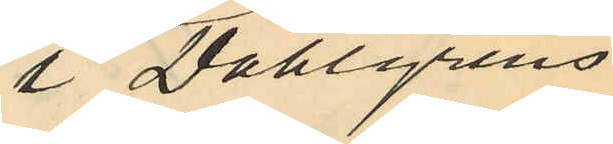i Dahlgrens
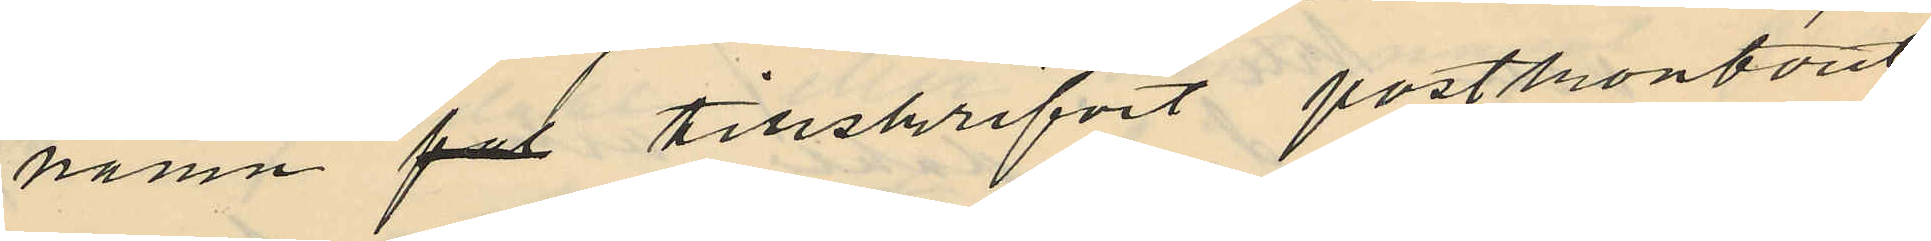namn för tillskrifvit postkontoret i
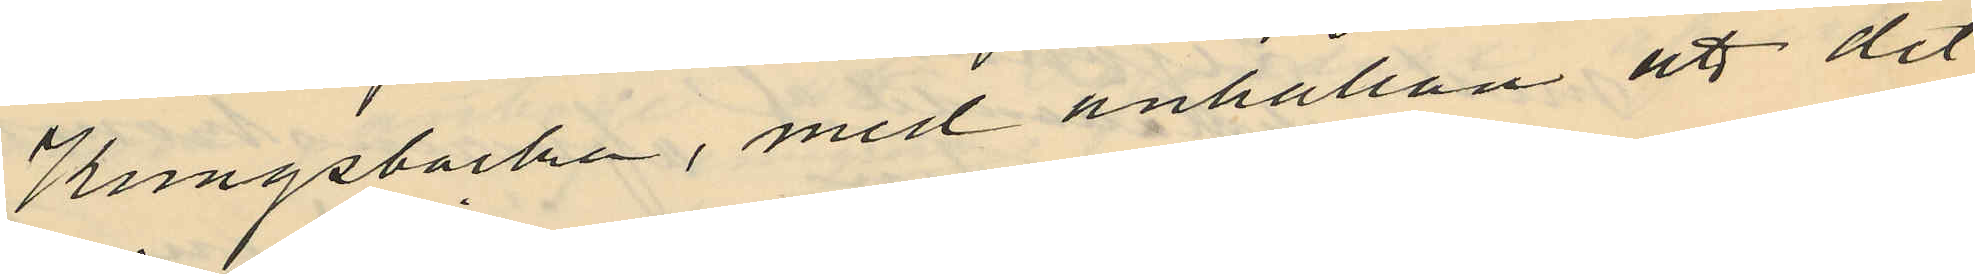Kungsbacka, med anhållan att det
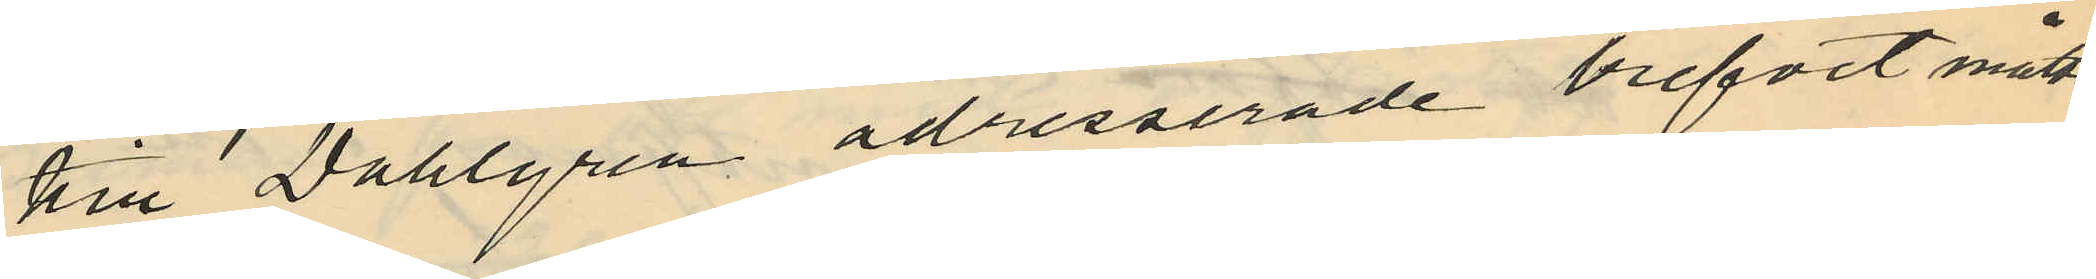till Dahlgren adresserade brefvet måtte
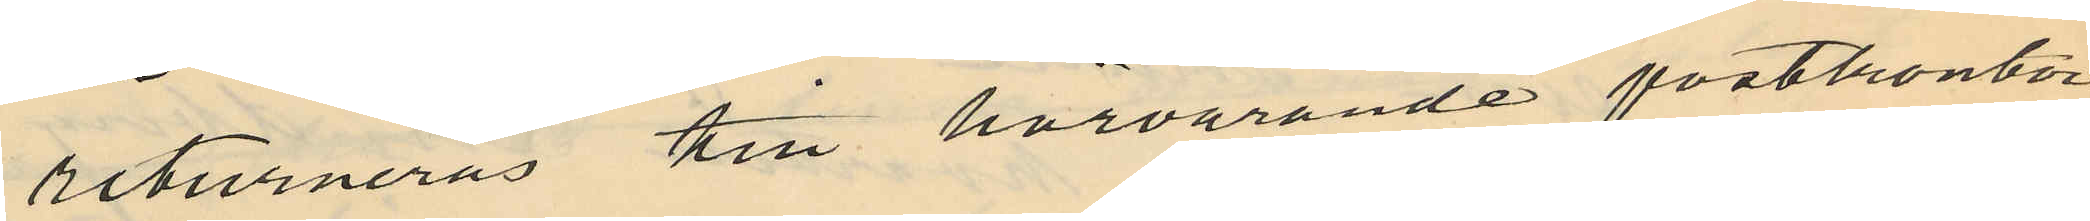returneras till härvarande postkontor
